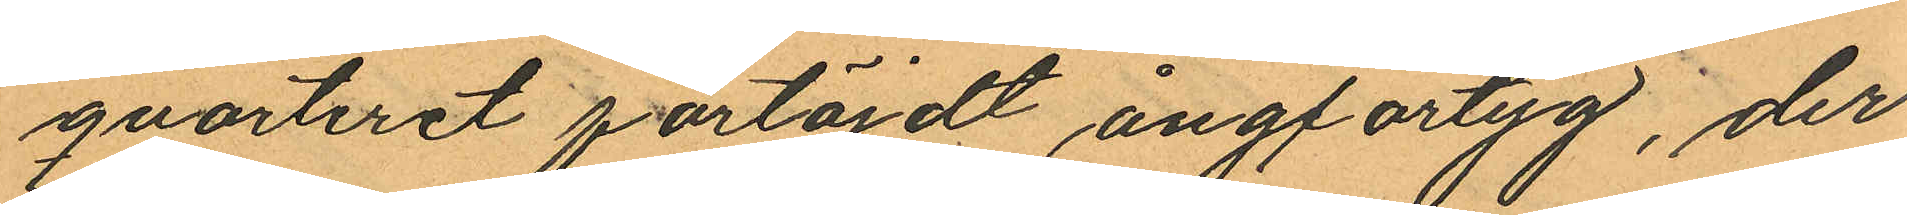qvarteret förtöjdt ångfartyg, der
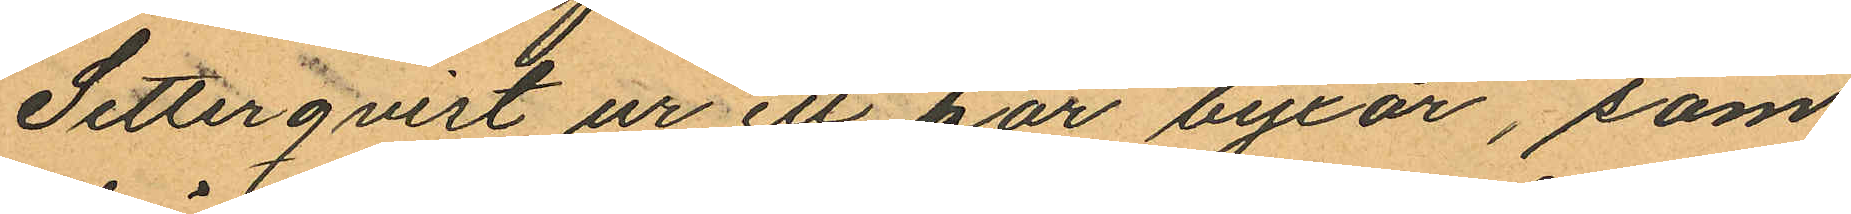Setterqvist ur ett par byxor, som
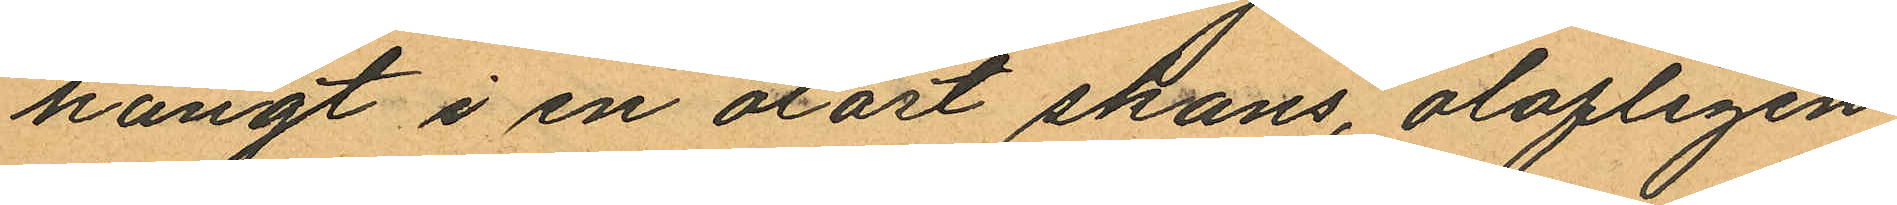hängt i en olåst skans, olofligen
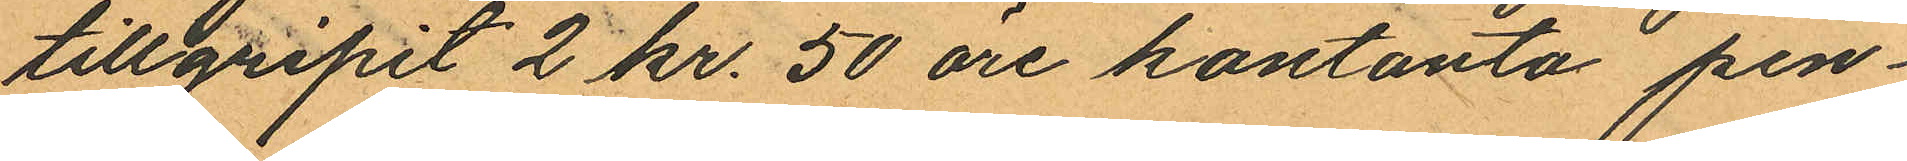tillgripit 2 kr. 50 öre kontanta pen¬
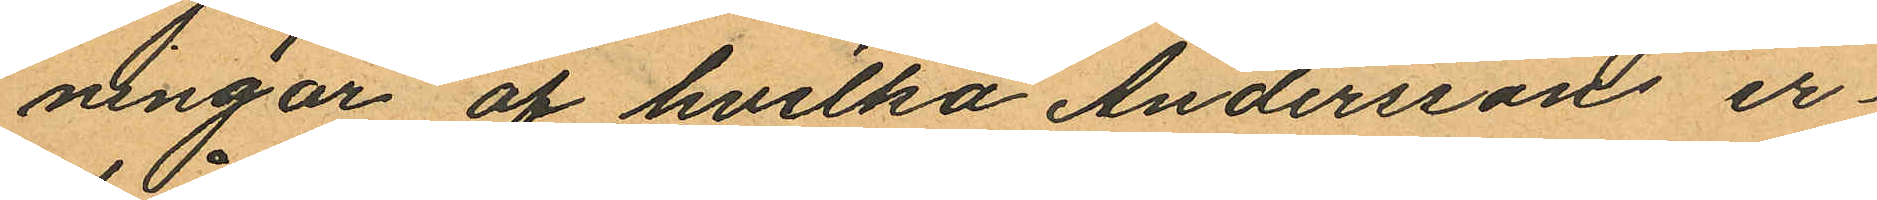ningar af hvilka Anderssons er¬
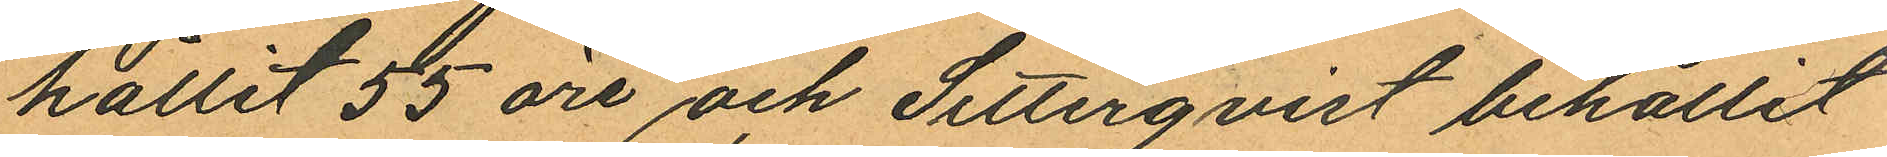hållit 55 öre och Setterqvist behållit
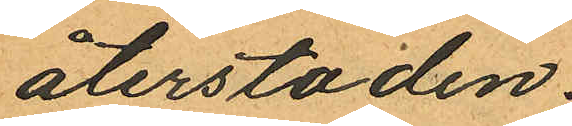återstoden;
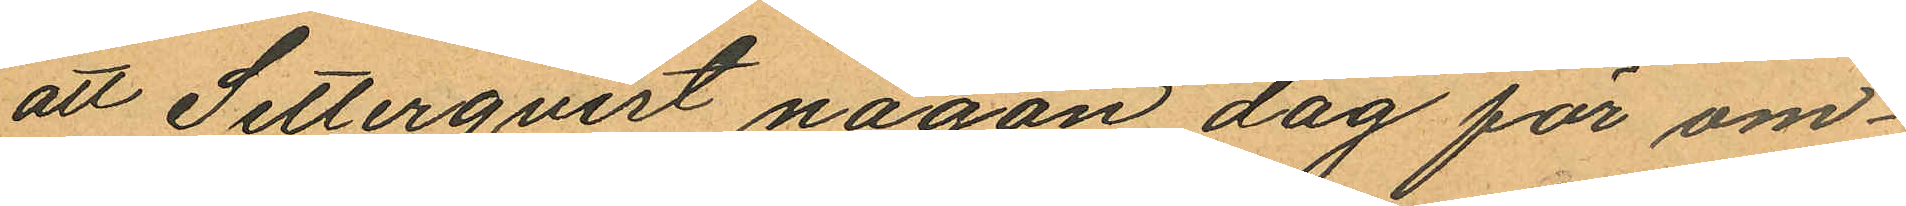att Setterqvist någon dag för om¬
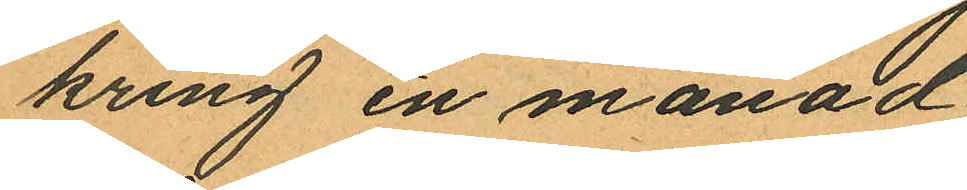kring en månad
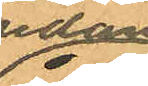sedan
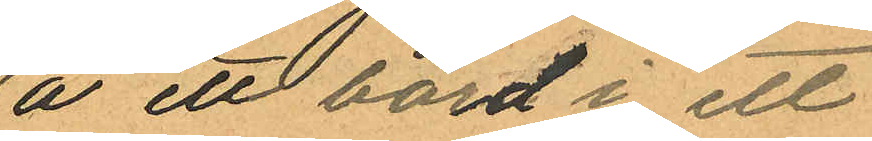å ett bord i ett
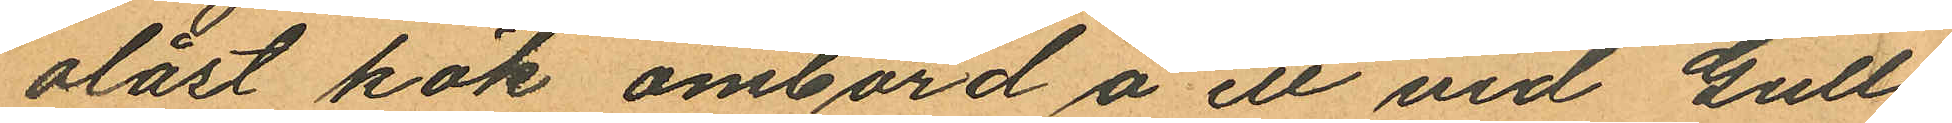olåst kök ombord å ett vid Gull¬
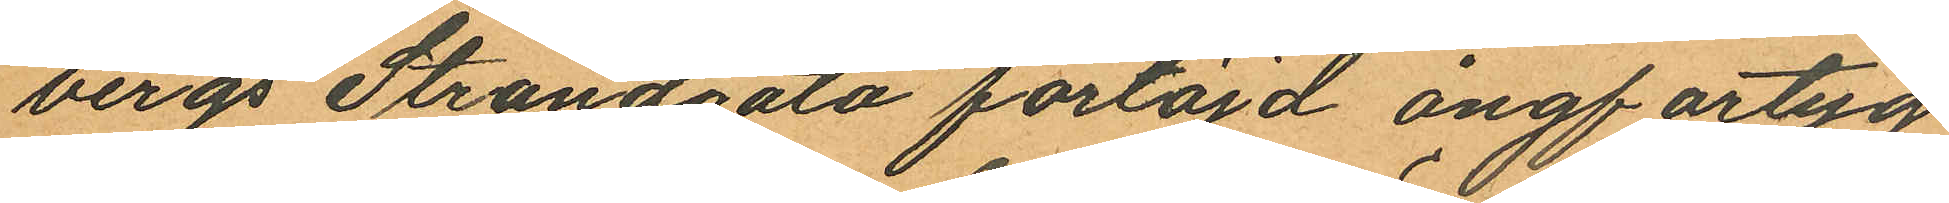bergs Strandgata förtöjd ångfartyg
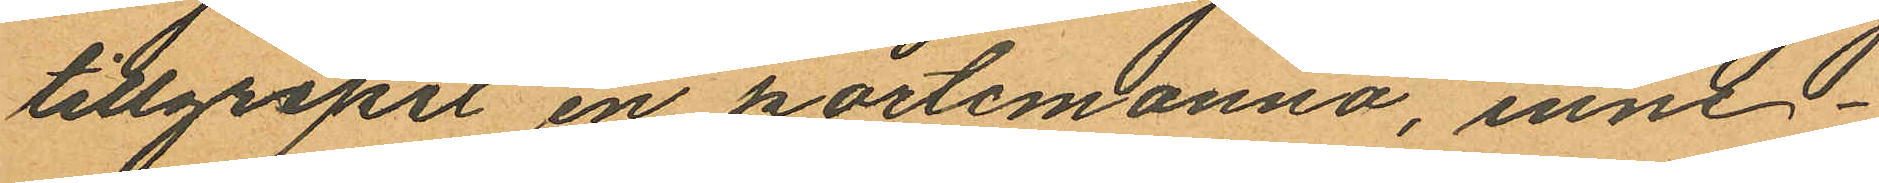tillgripit en portemonnä, inne¬
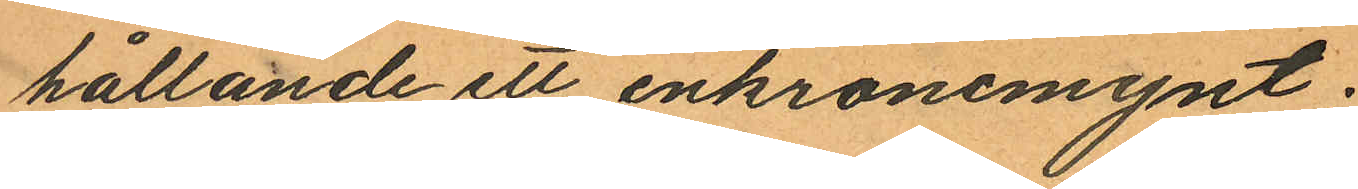hållande ett enkronomynt;
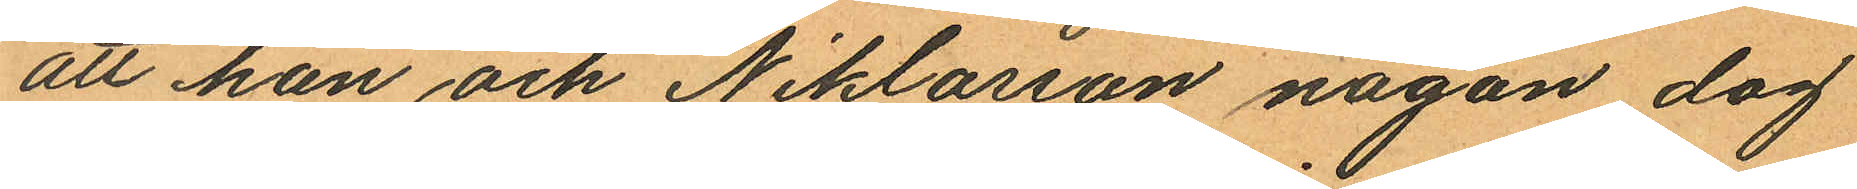att han och Niklasson någon dag
